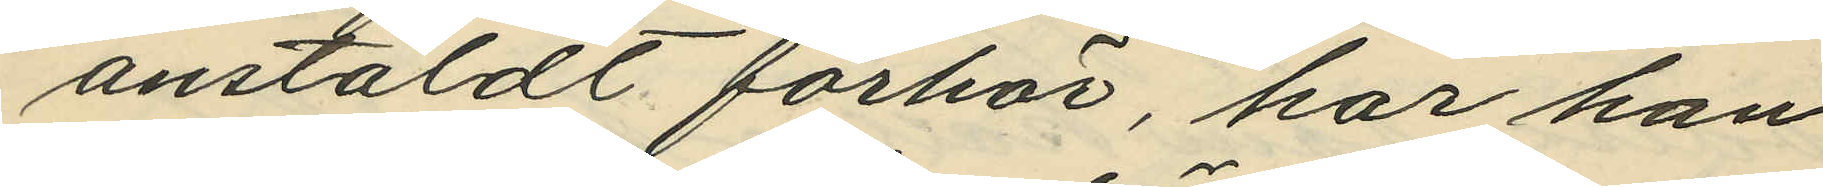anstäldt förhör, har han
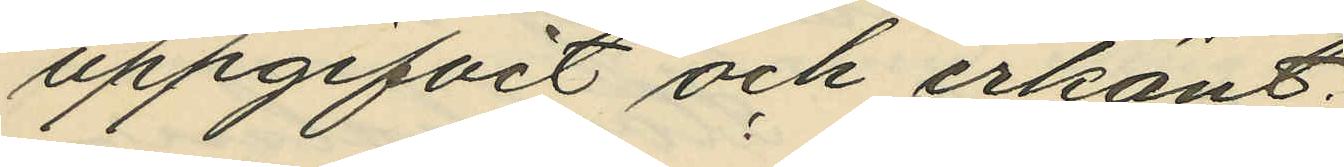uppgifvit och erkänt:
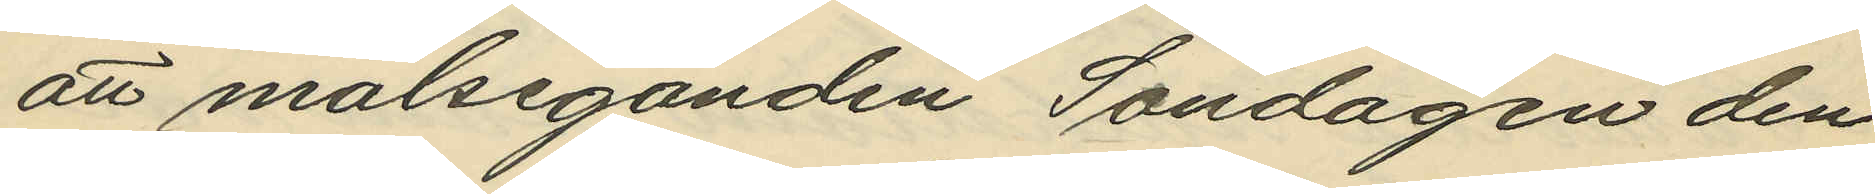att målseganden Söndagen den
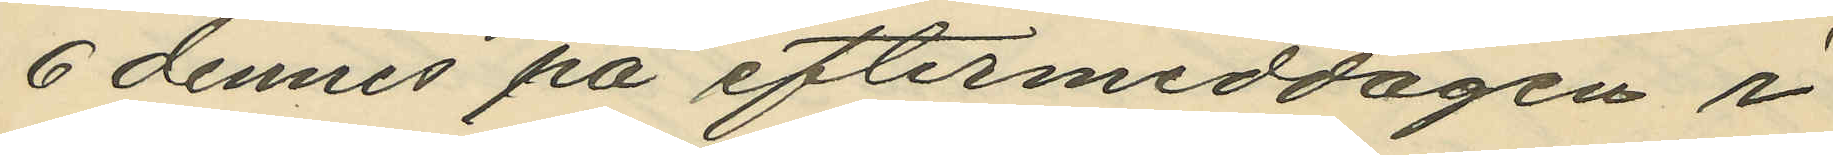6 dennes på eftermiddagen i
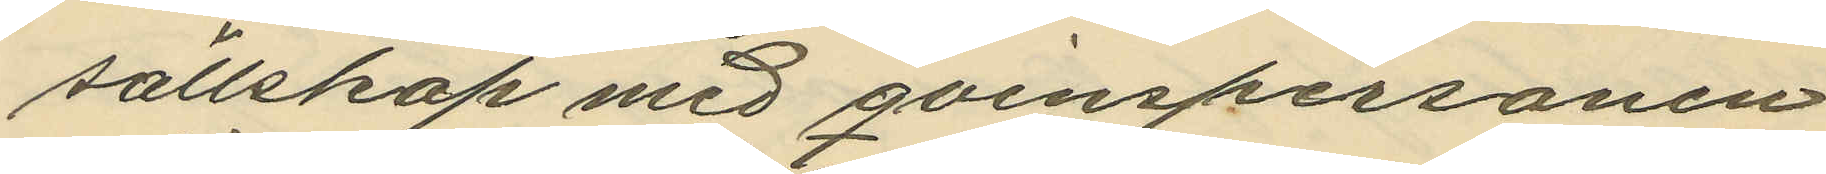sällskap med qvinspersonen
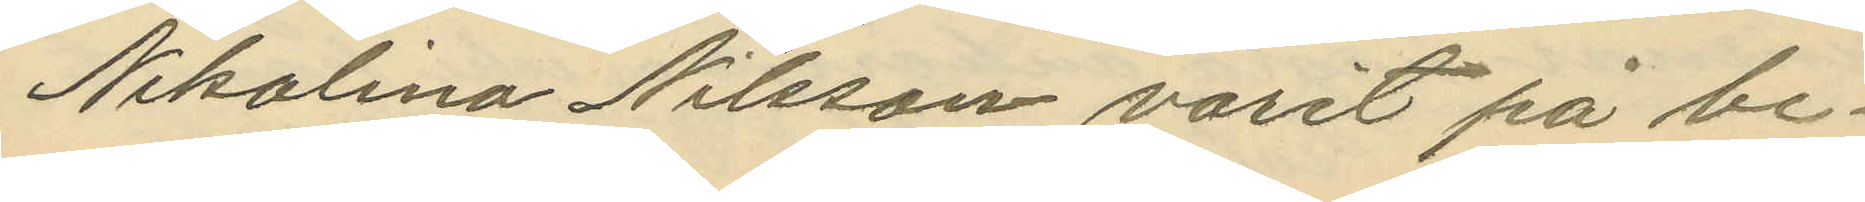Nikolina Nilsson varit på be¬
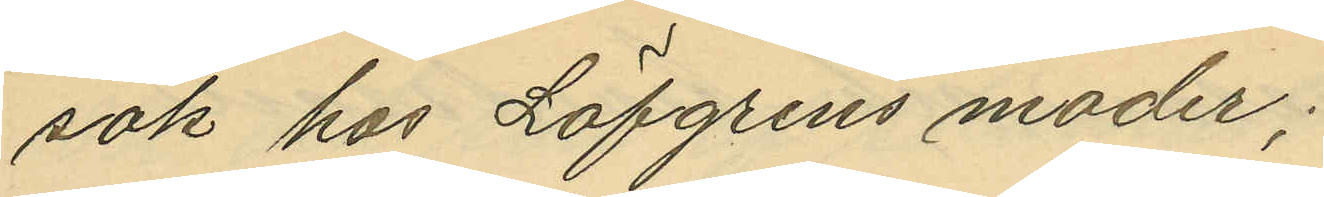sök hos Löfgrens moder;
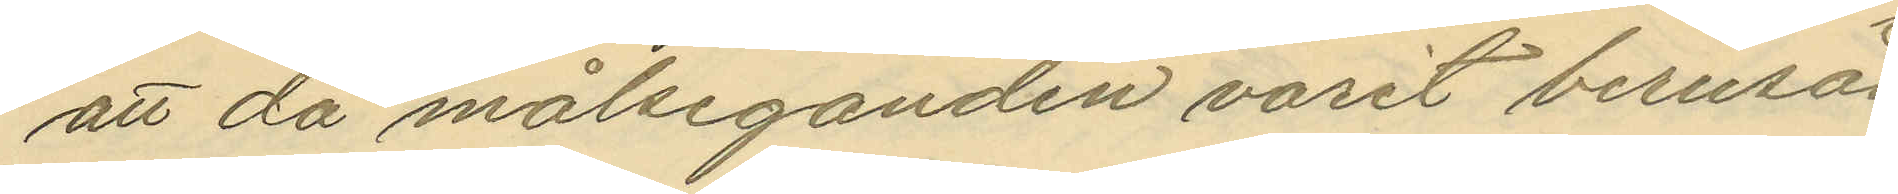att då målseganden varit berusad
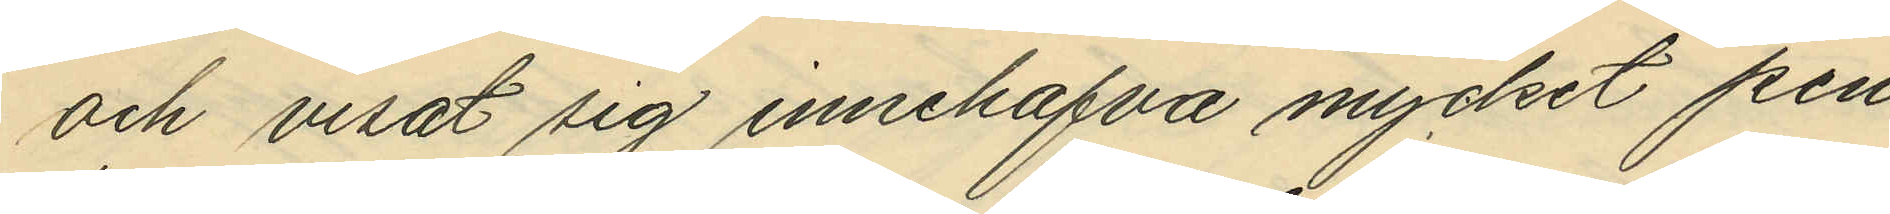och visat sig innehafva mycket pen¬
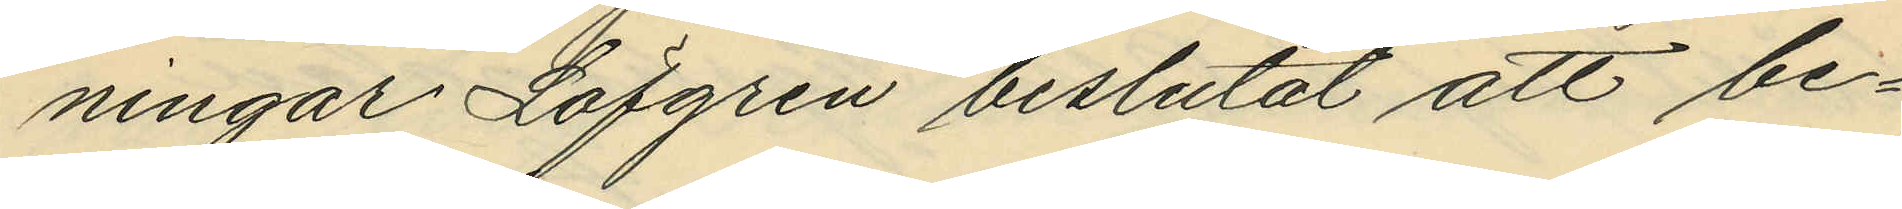ningar Löfgren beslutat att be¬
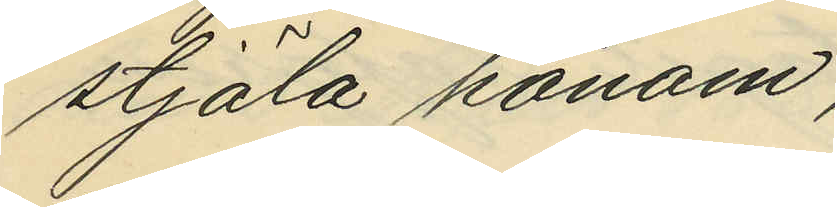stjäla honom;
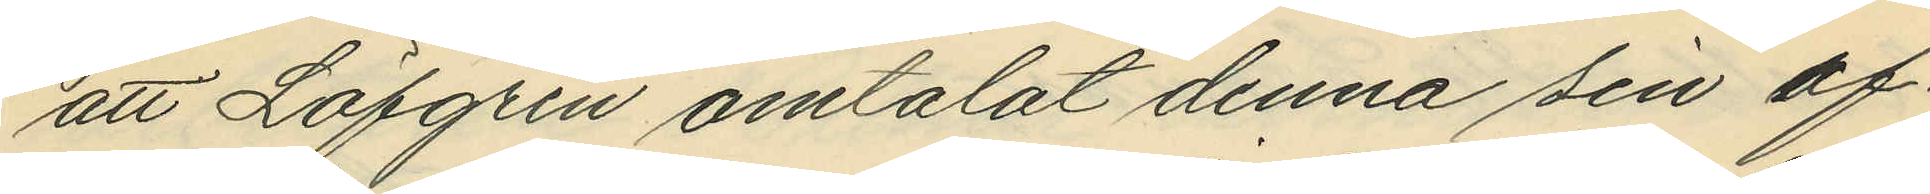att Löfgren omtalat denna sin af¬
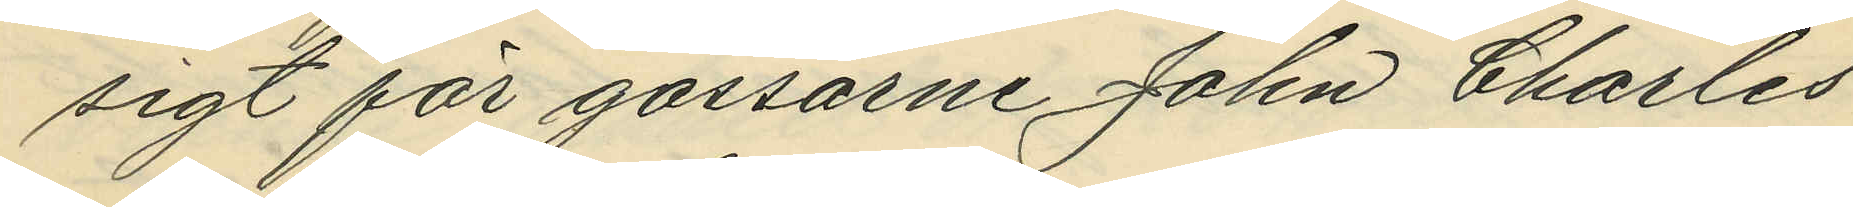sigt för gossarne John Charles
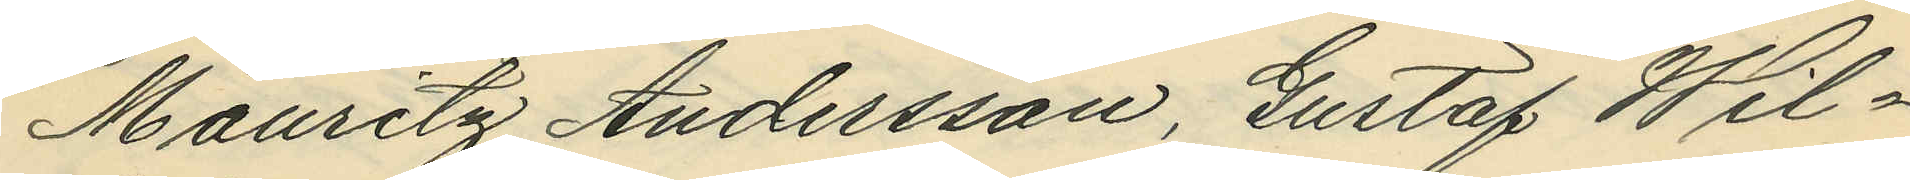Mauritz Andersson, Gustaf Wil¬
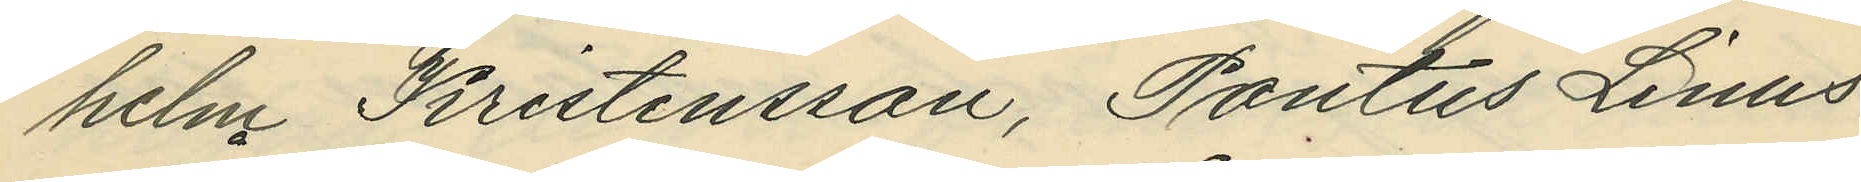helm Kristensson, Pontus Linus
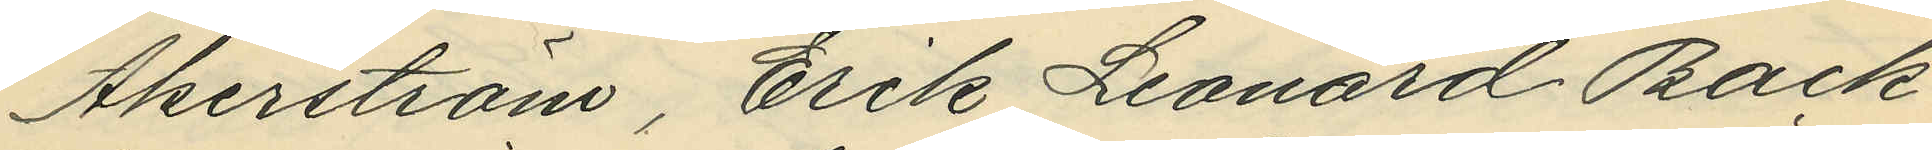Åkerström, Erik Leonard Back¬
